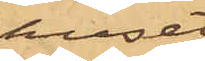huset
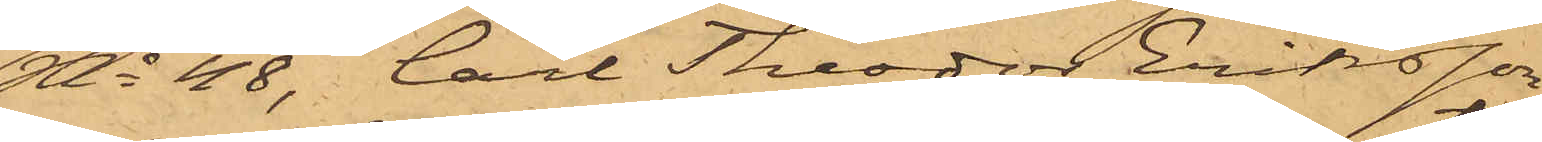No 48, Carl Theodor Eriksson
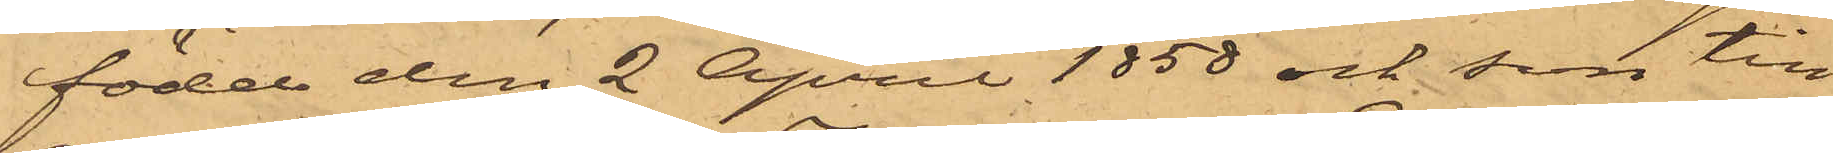född den 2 April 1858 och son till
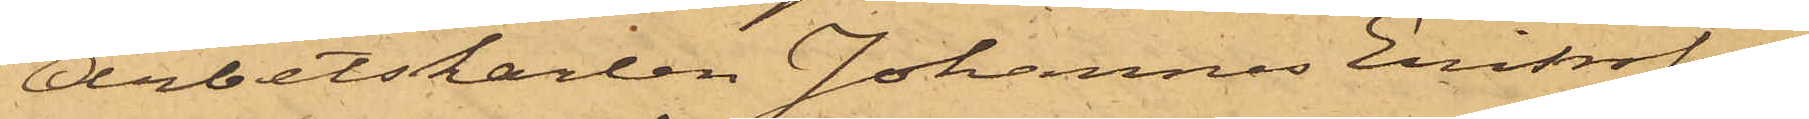Arbetskarlen Johannes Eriksson,
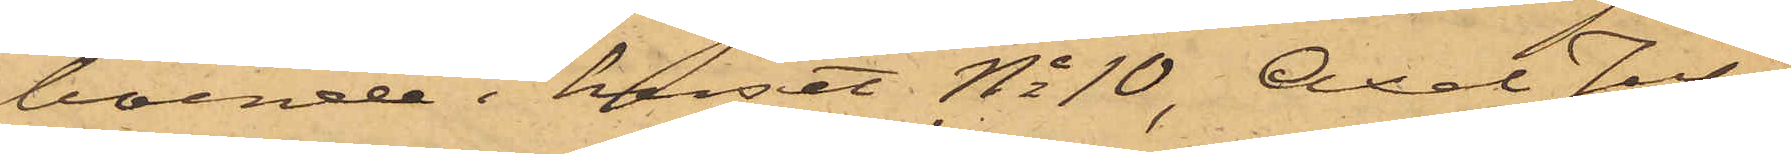boende i huset No 10, Axel Juli¬
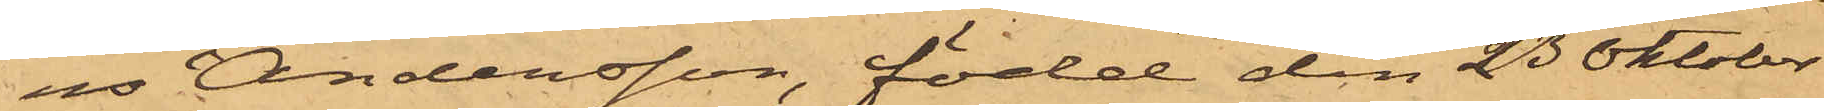us Andersson, född den 23 Oktober
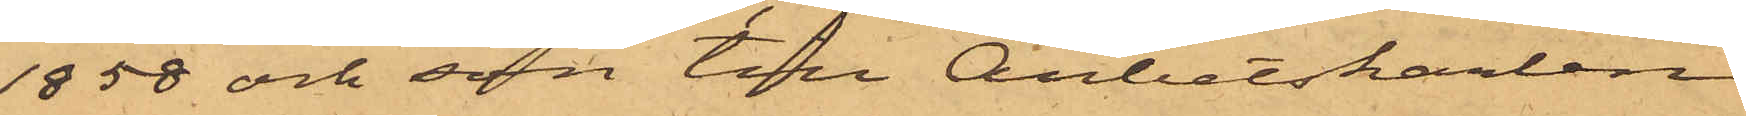1858 och son till Arbetskarlen
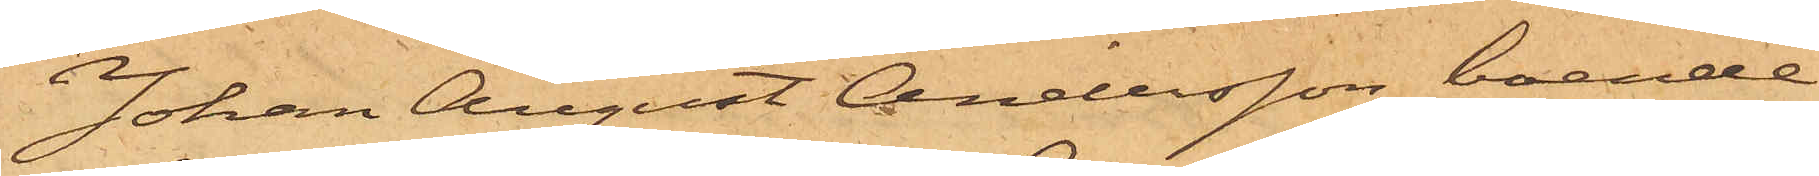Johan August Andersson, boende
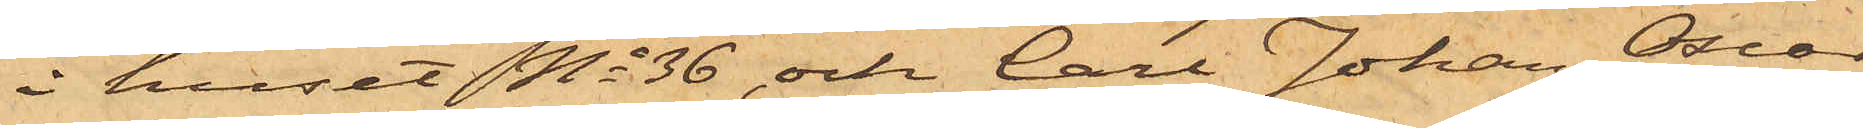i huset No 36 och Carl Johan Oscar
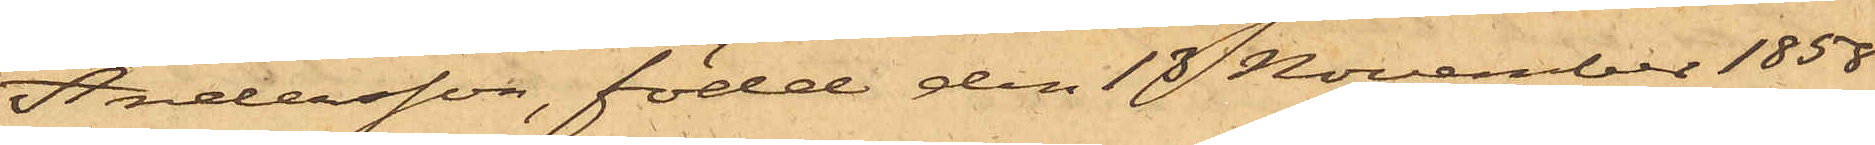Andersson, född den 13 November 1858
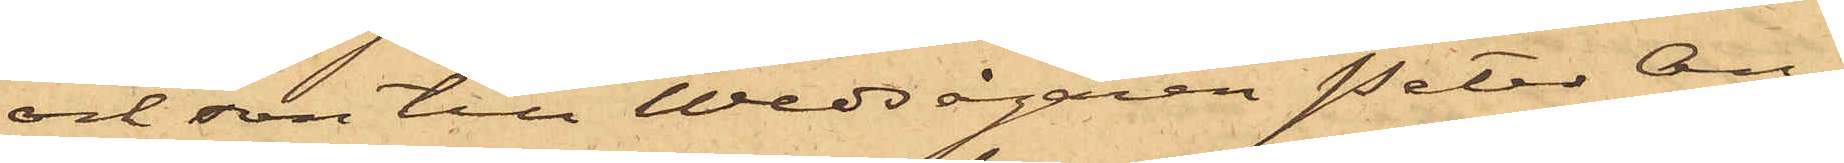och son till Wedsågaren Peter An¬
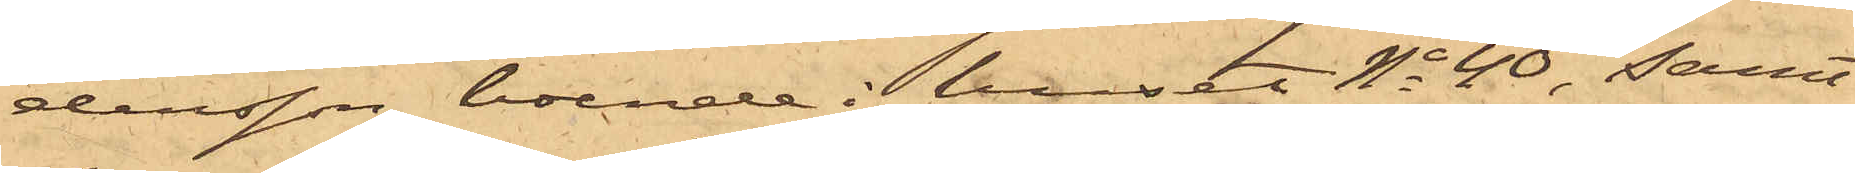dersson, boende i huset No 40, samt
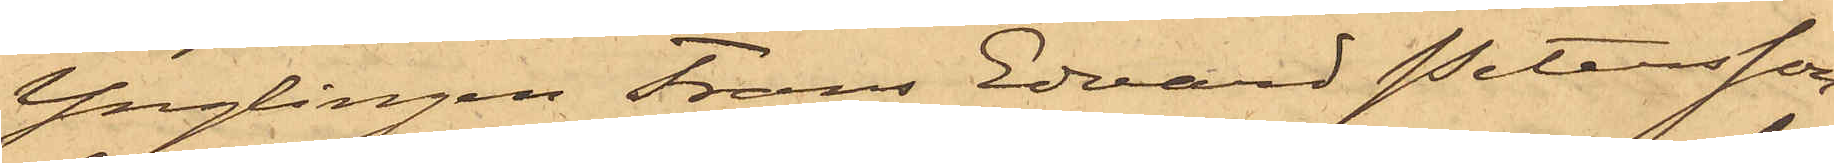Ynglingen Frans Edvard Petersson
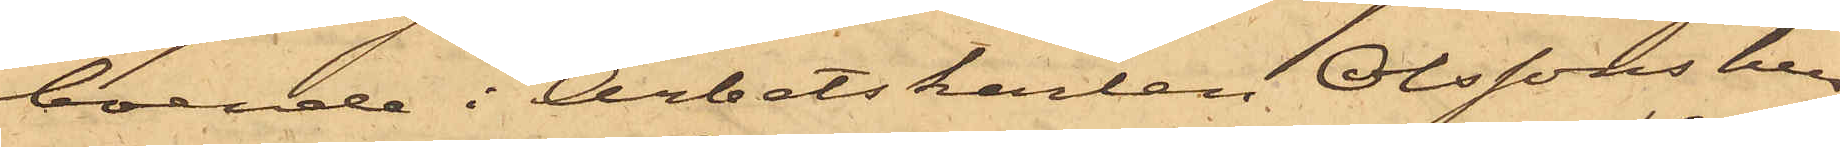boende i Arbetskarlen Olssons hus
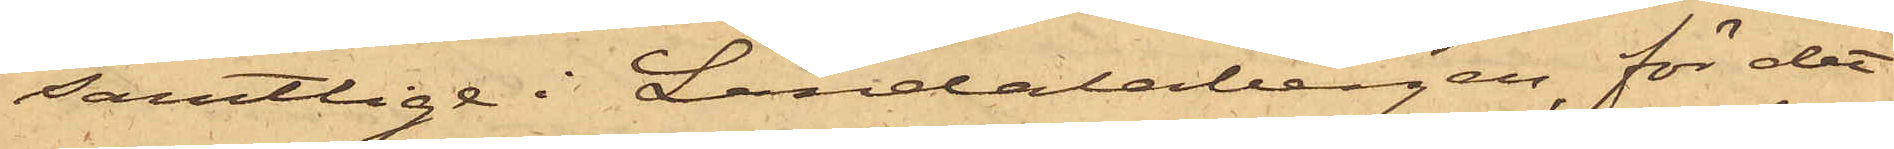samtlige i Landalabergen, för det
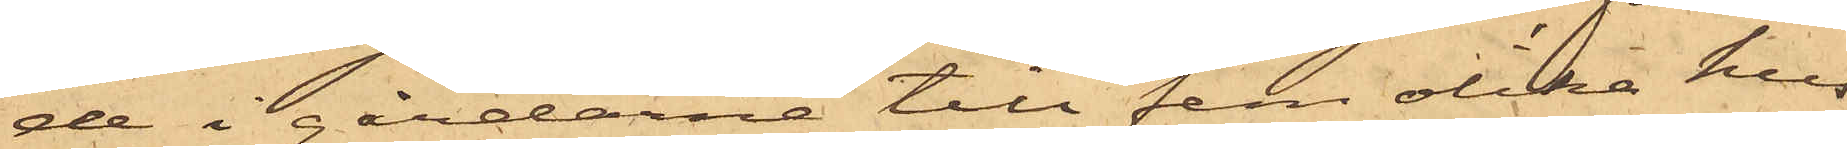de i gårdarne till fem olika hus
